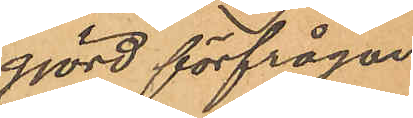gjord förfrågan
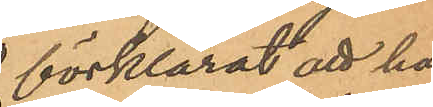förklarat att han
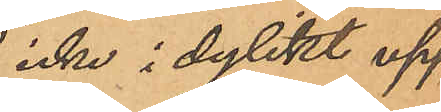icke i dylikt upp¬
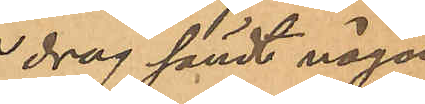drag sändt någon
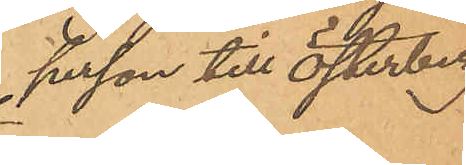person till Österberg.
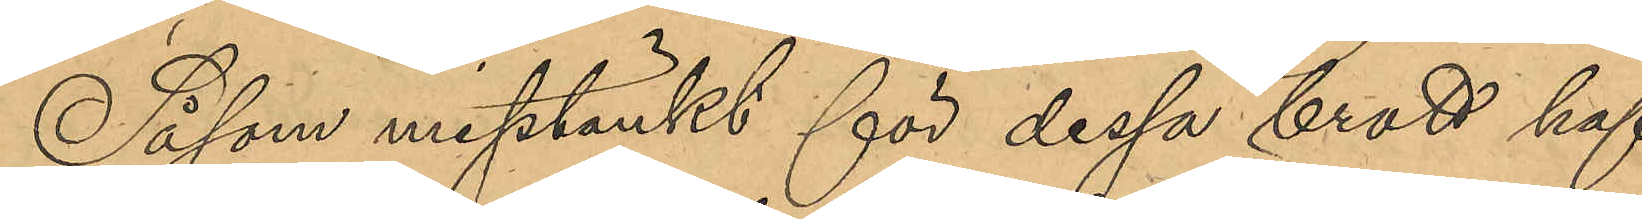Såsom misstänkt för dessa brott haf¬
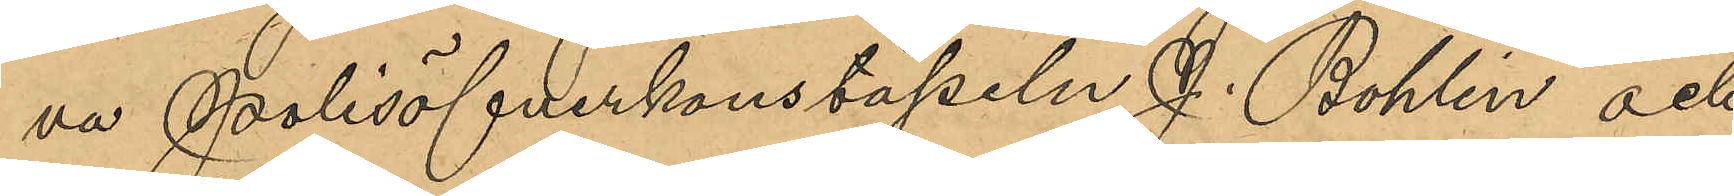va Polisöfverkonstapeln J. Bohlin och
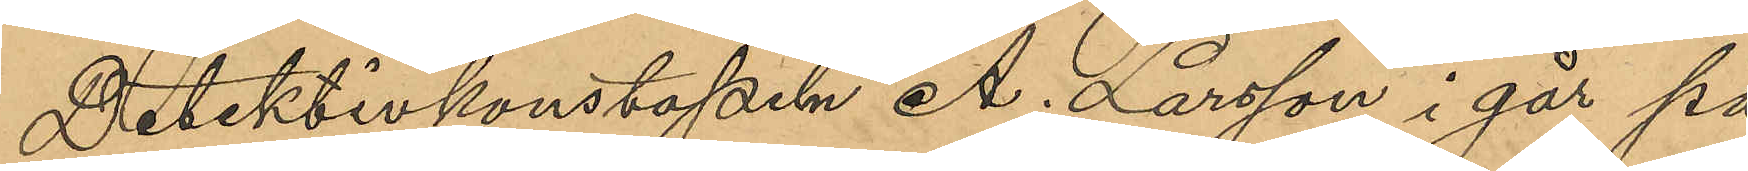Detektivkonstapeln A. Larsson i går på
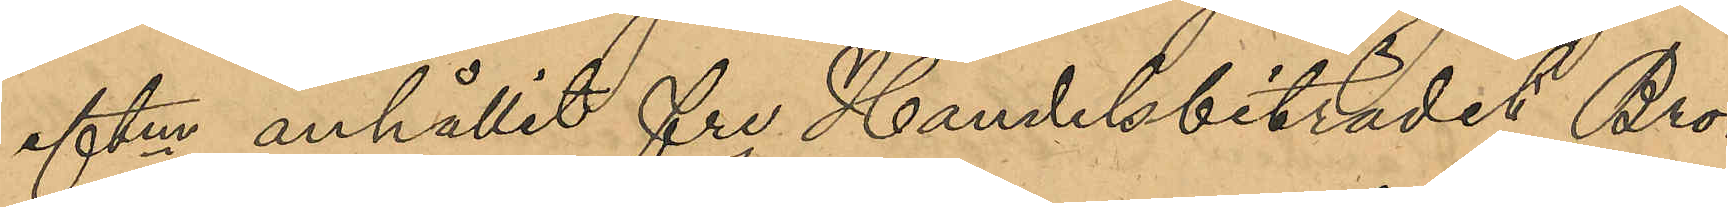eftm anhållit fre Handelsbiträdet Bror
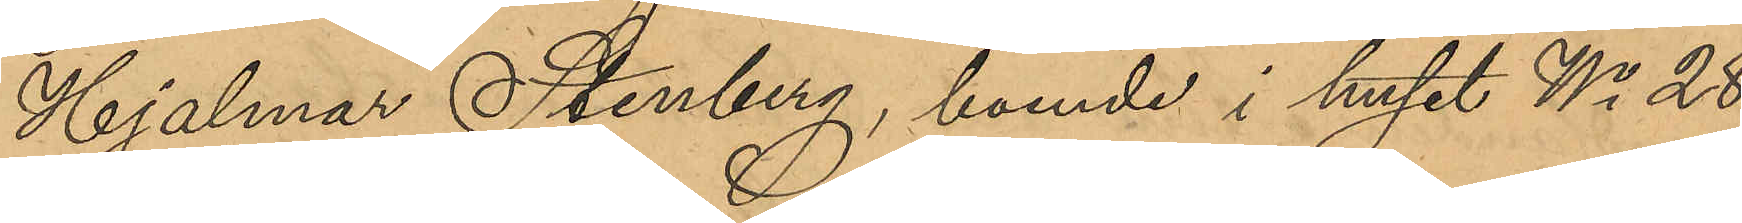Hjalmar Stenberg, boende i huset No 28
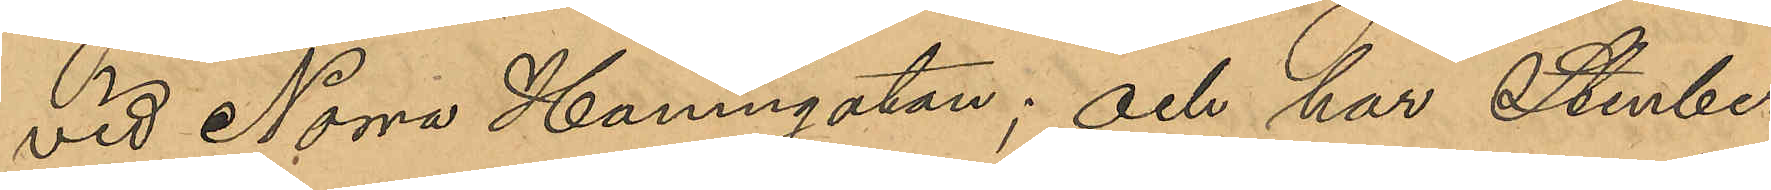vid Norra Hamngatan; och har Stenberg
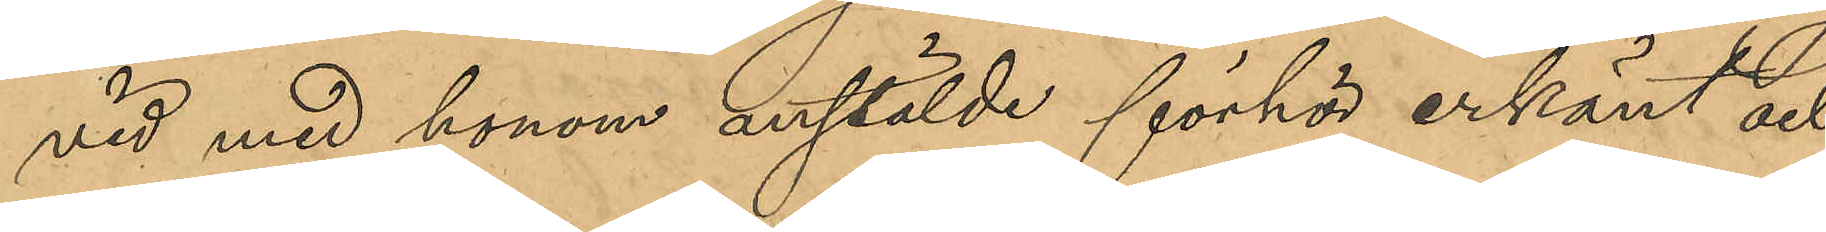vid med honom anstälde förhör erkänt och
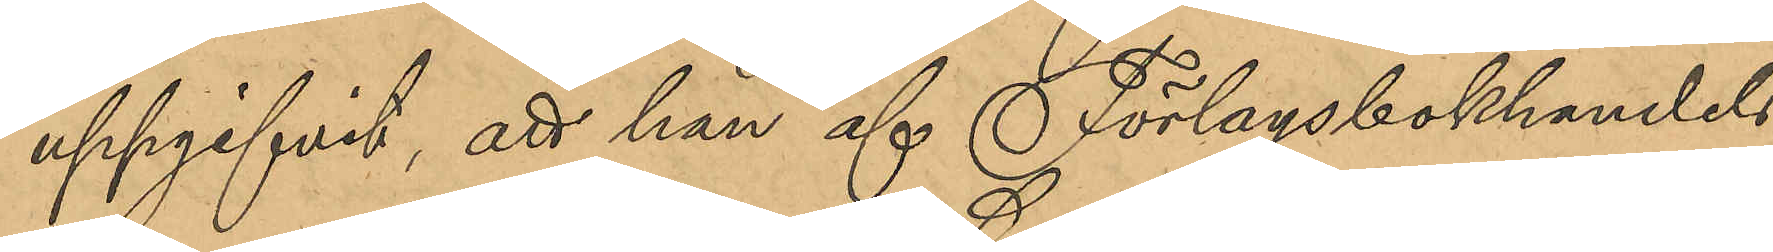uppgifvit; att han af Förlagsbokhandels¬
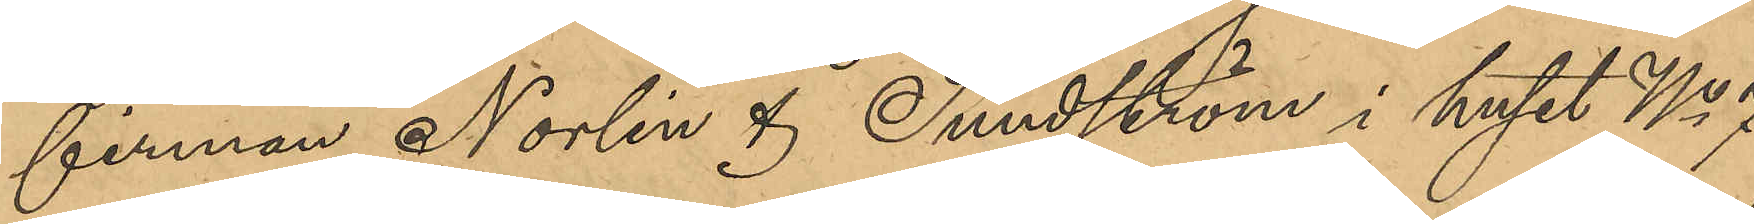firman Norlin & Sundström i huset No 7
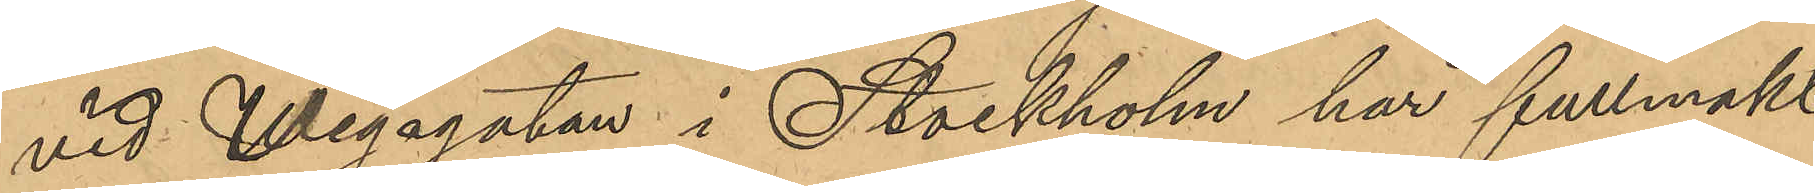vid Wegagatan i Stockholm har fullmakt
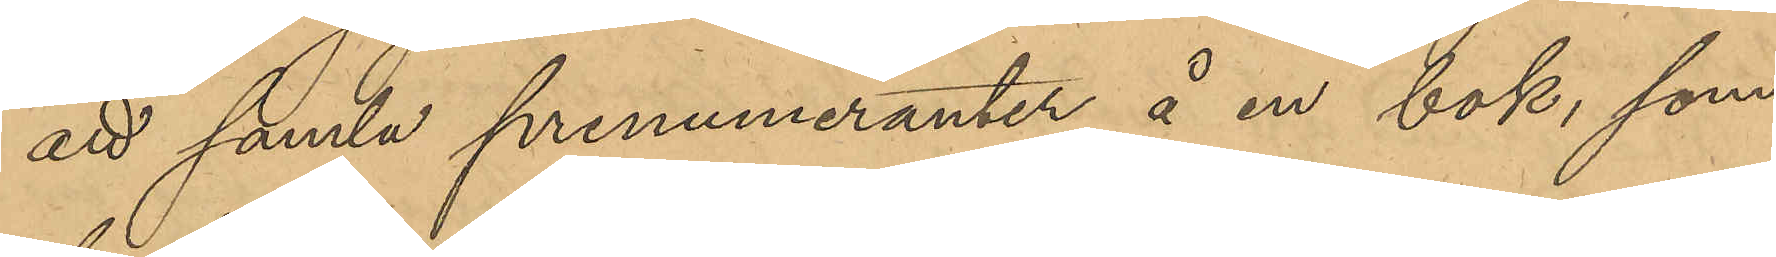att samla prenumeranter å en bok, som
